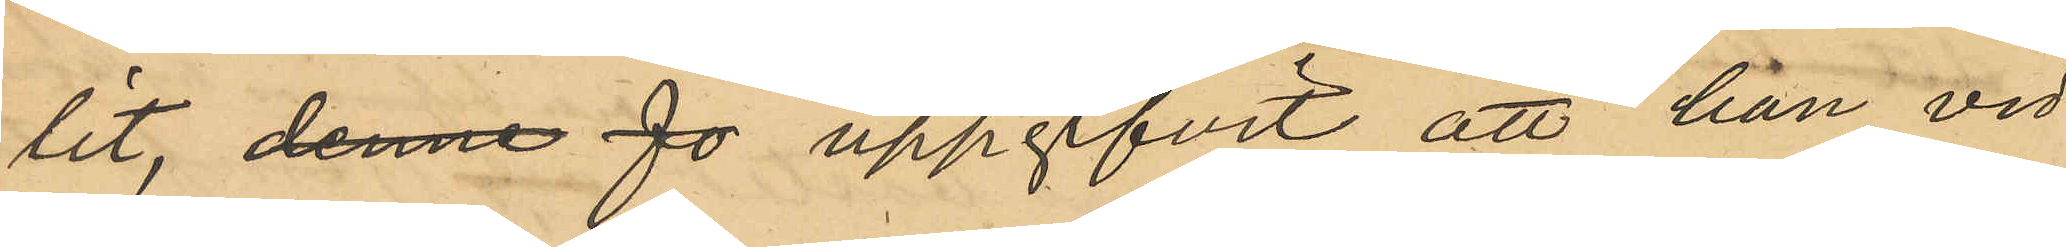lit, denne Jo uppgifvit att han vid
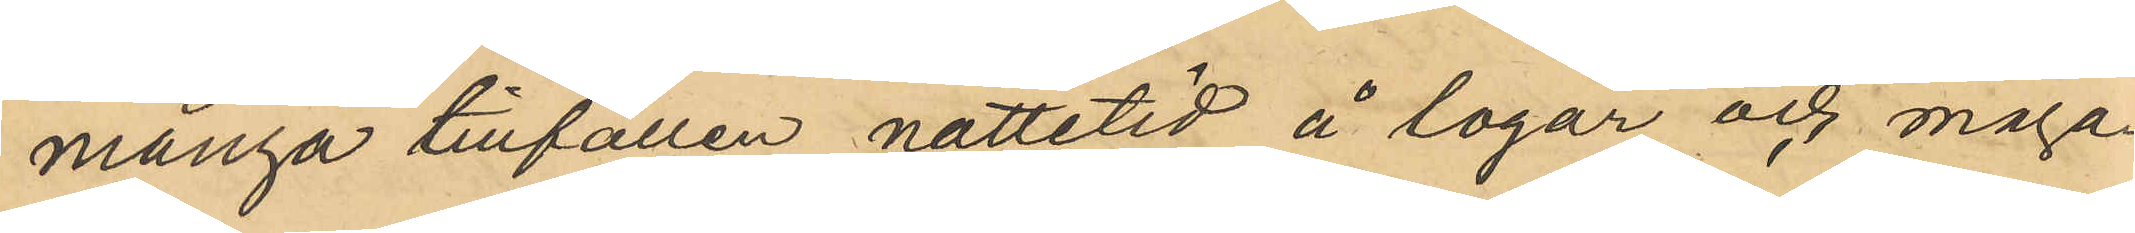många tillfällen nattetid å logar och maga¬
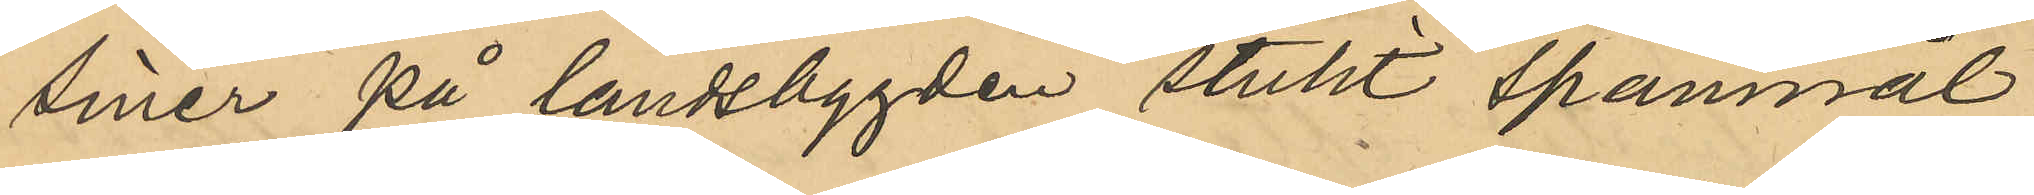siner på landsbygden stulit spannmål;
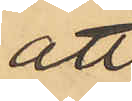att
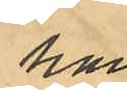han
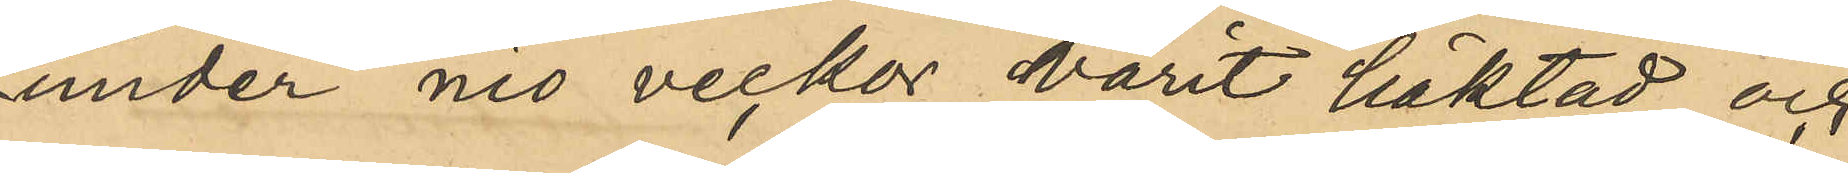under nio veckor varit häktad och
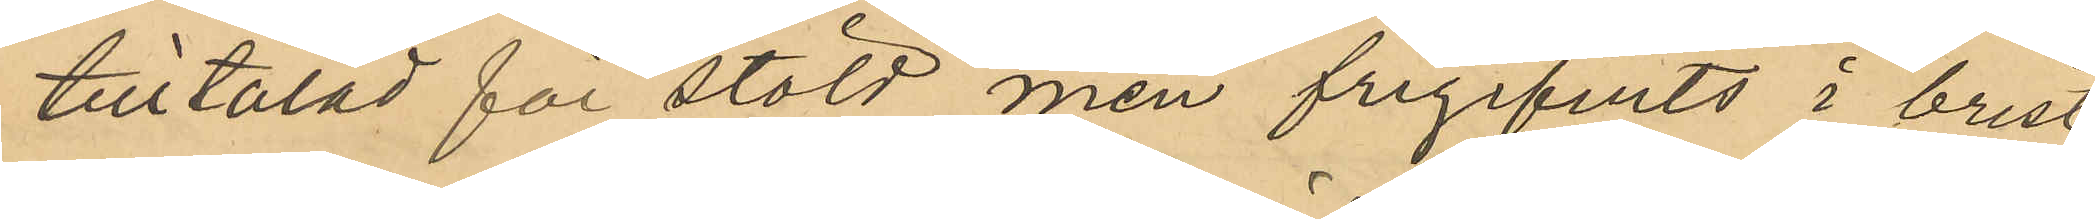tilltalad för stöld men frigifvits i brist
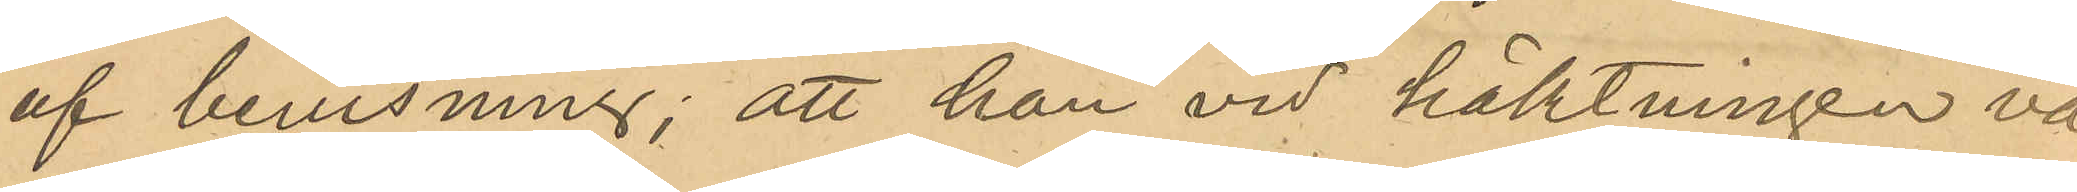af bevisning; att han vid häktningen va¬
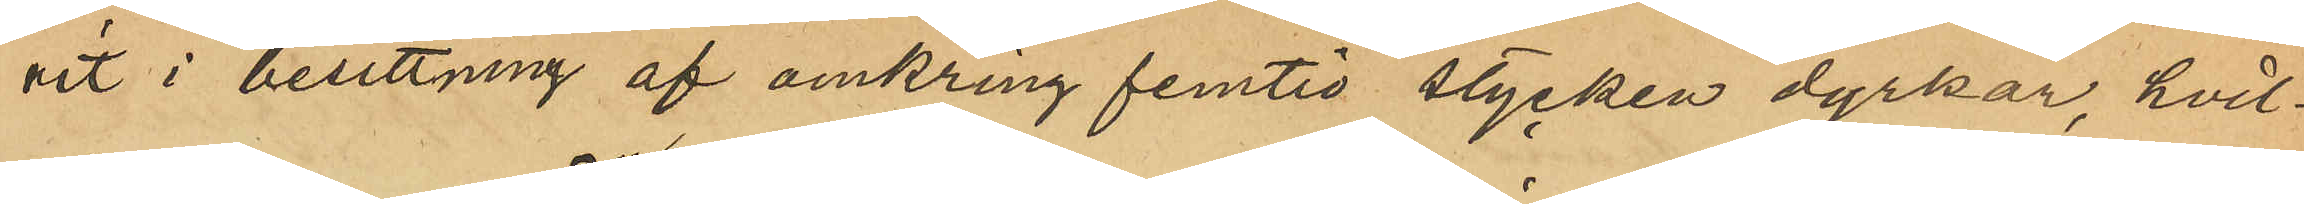rit i besittning af omkring femtio stycken dyrkar, hvil¬
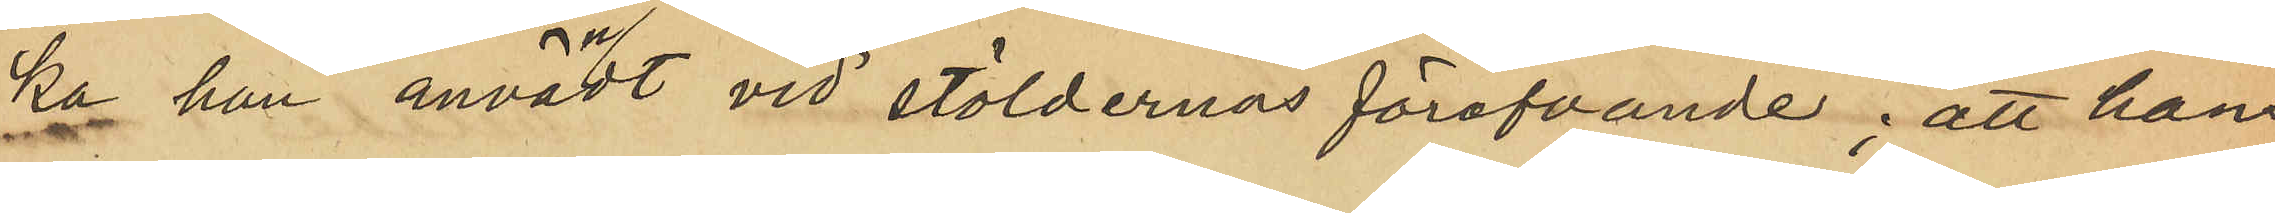ka han användt vid stöldernas föröfvande; att hans
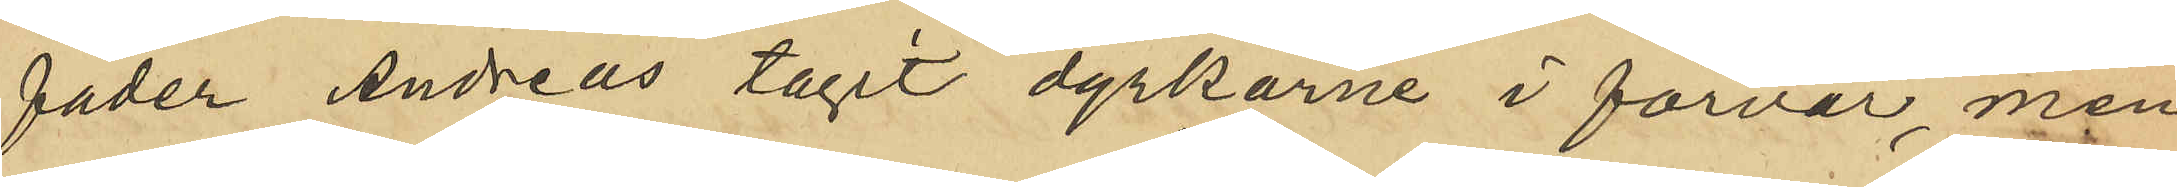fader Andreas tagit dyrkarna i förvar, men
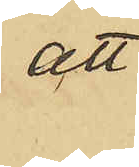att 
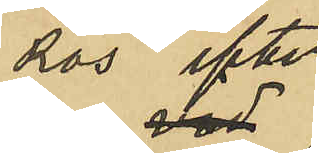Ros efter
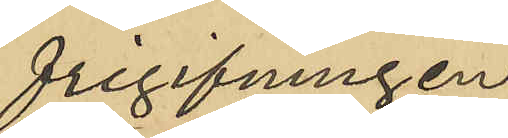frigifningen
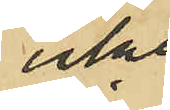icke
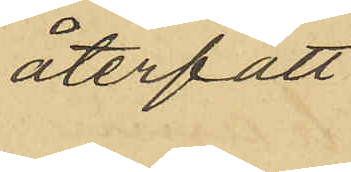återfått 
